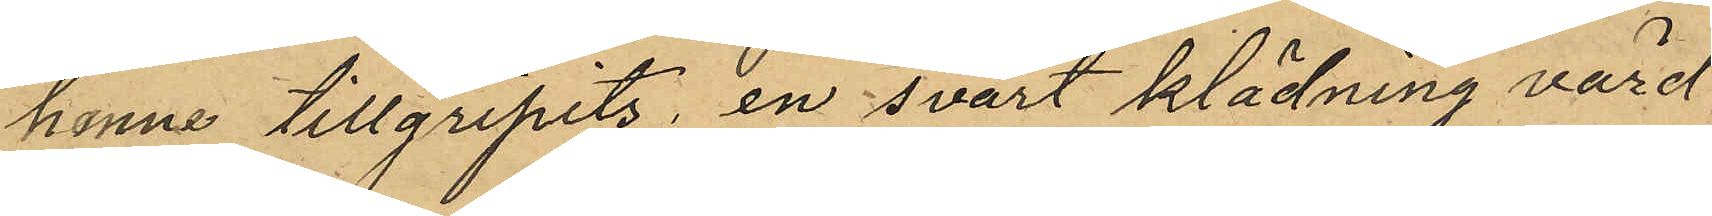henne tillgripits, en svart klädning värd
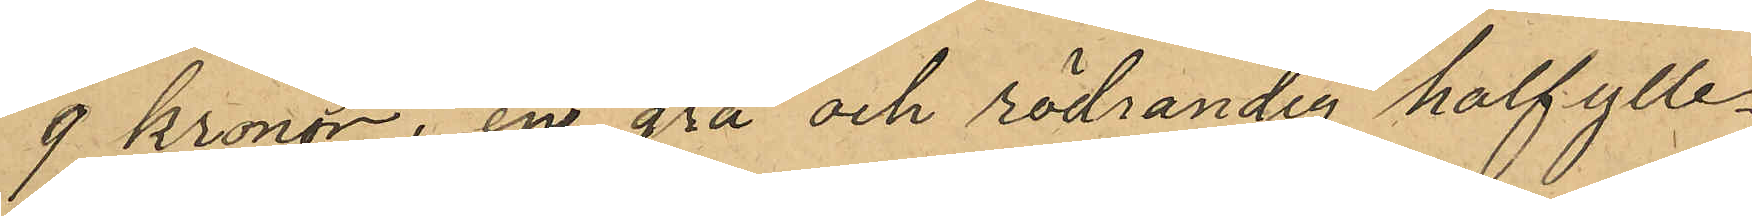9 kronor, en grå och rödrandig halfylle¬
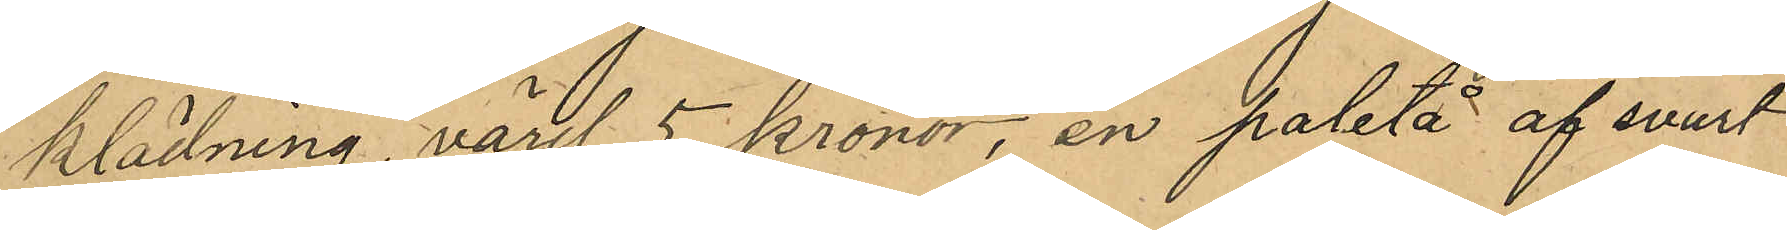klädning, värd 5 kronor, en paletå af svart
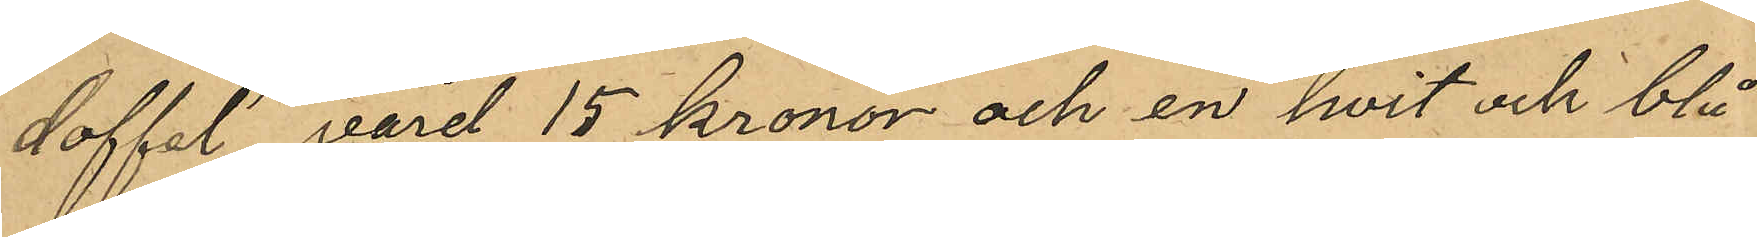doffel, värd 15 kronor och en hvit och blå¬
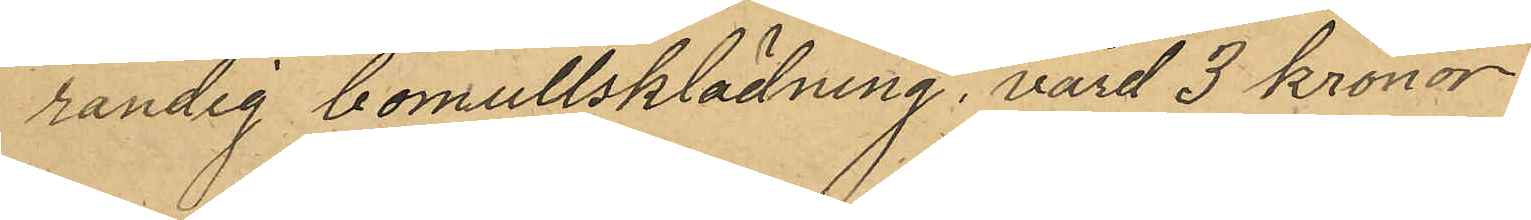randig bomullsklädning, värd 3 kronor:
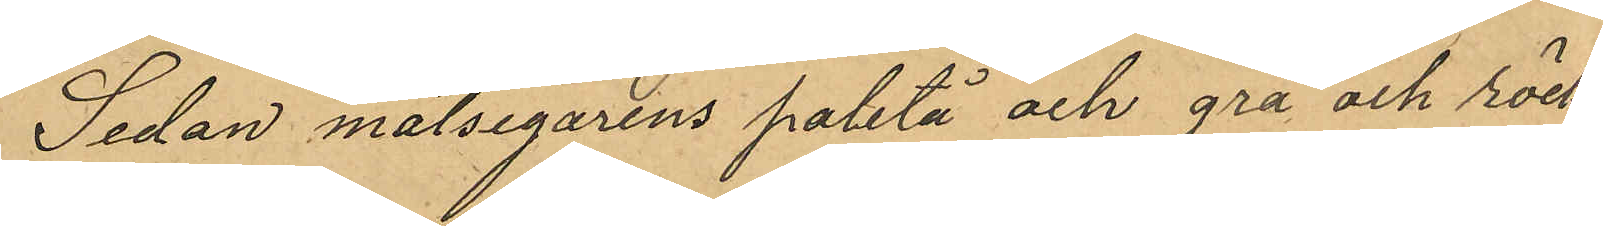Sedan målsegarens paletå och grå och röd¬
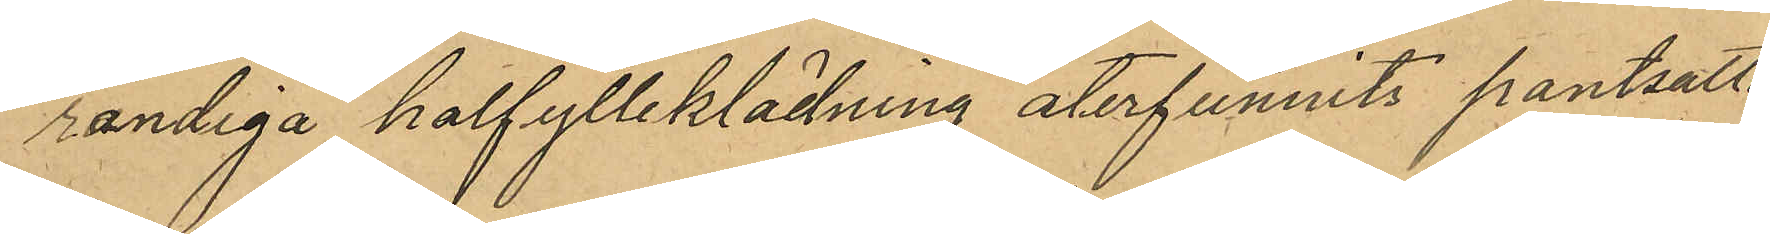randiga halfylleklädning återfunnits pantsatta
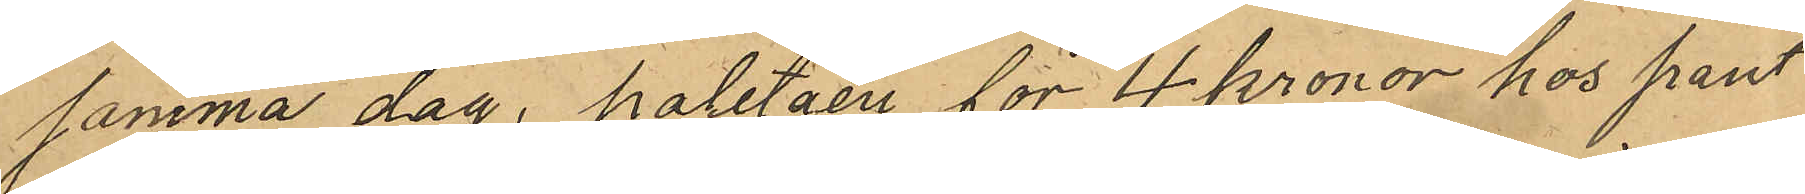samma dag, paletåen för 4 kronor hos pant¬
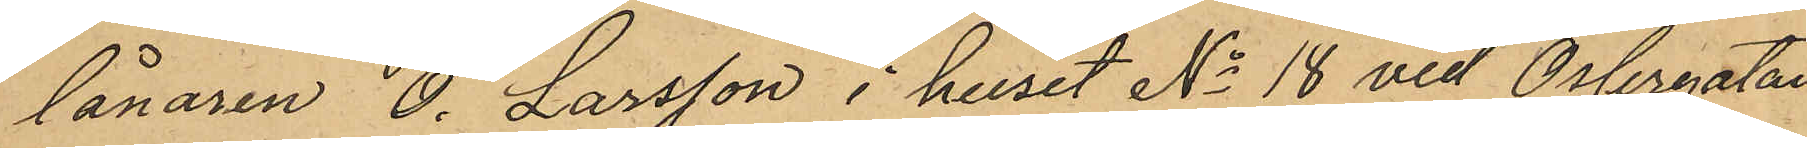lånaren O. Larsson i huset No 18 vid Öslergatan
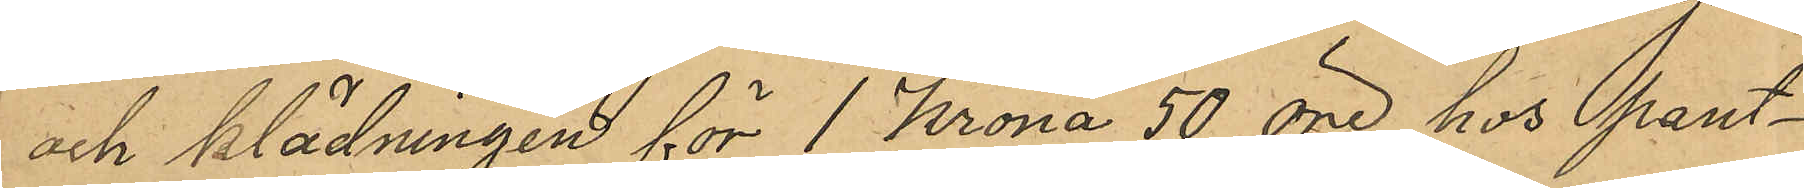och klädningen för 1 Krona 50 öre hos pant¬
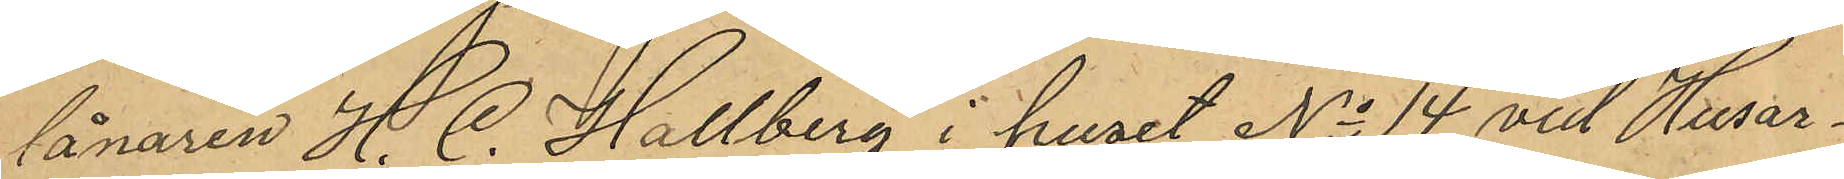lånaren H. C. Hallberg i huset No 14 vid Husar¬
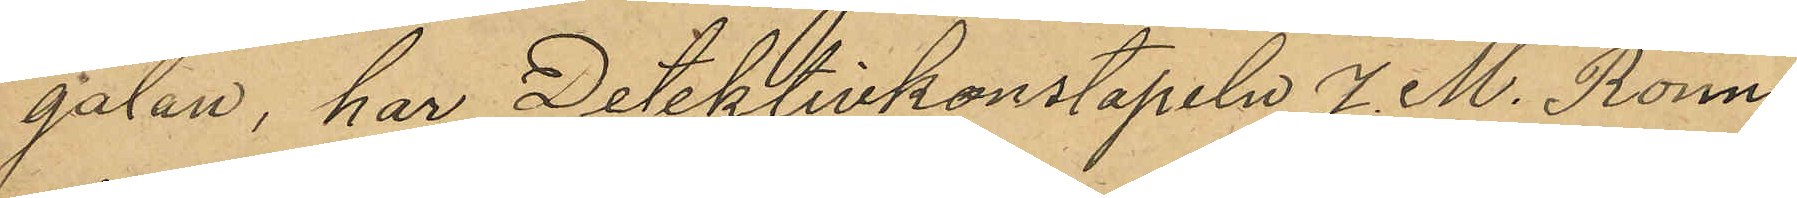gatan, har Detektivkonstapeln J. M. Rönn¬
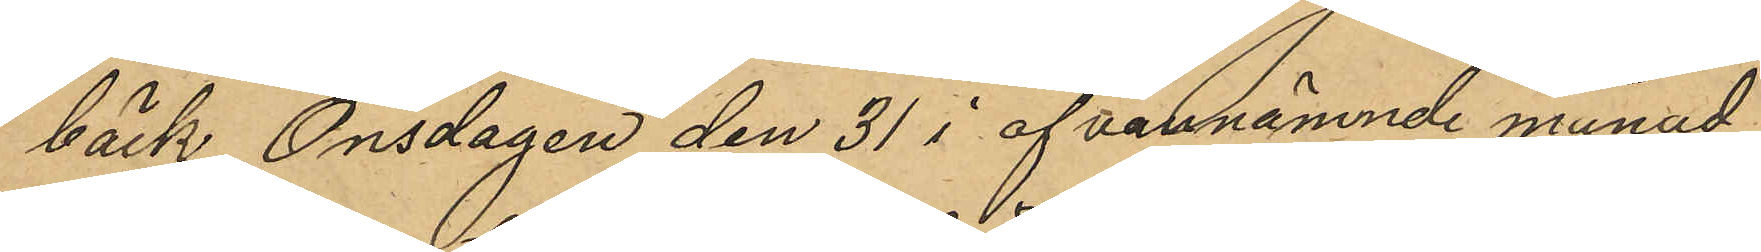bäck Onsdagen den 31 i ofvannämnde månad
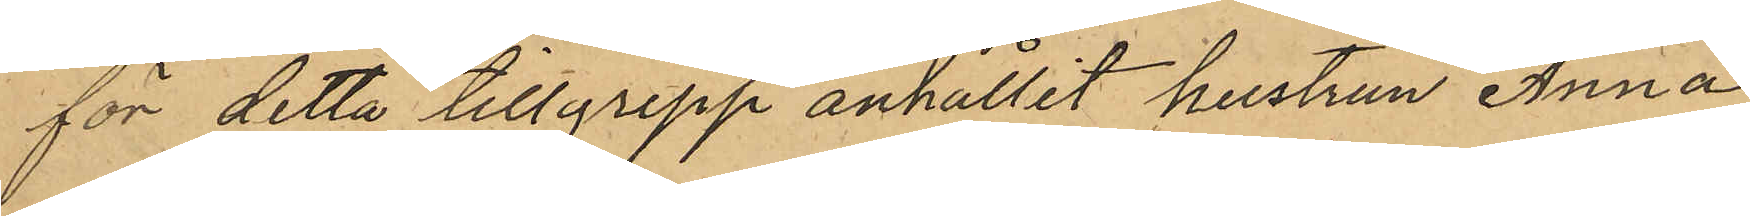för detta tillgripp anhållit hustrun Anna
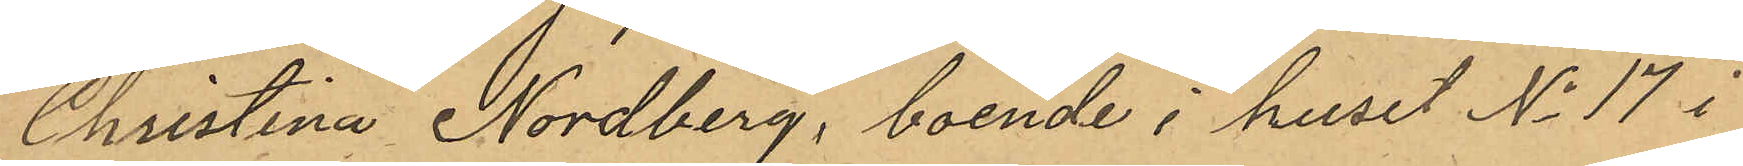Christina Nordberg, boende i huset No 17 i
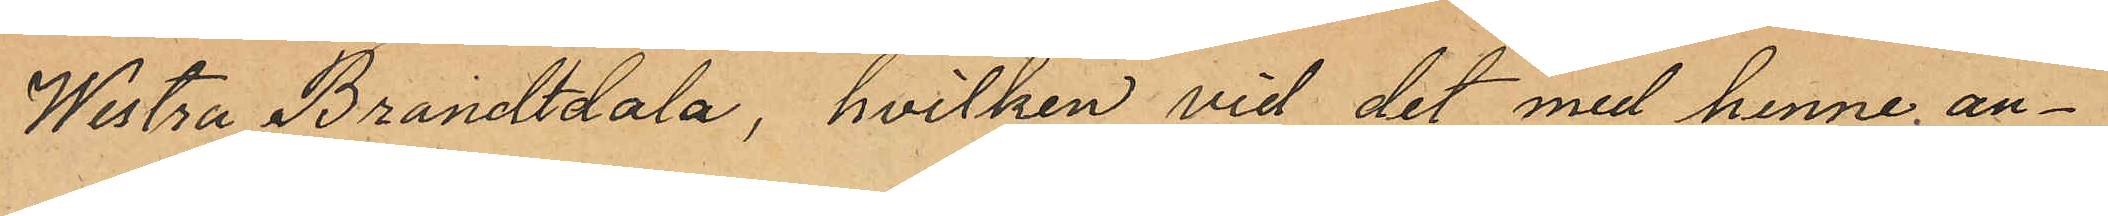Westra Brandtdala, hvilken vid det med henne an¬
